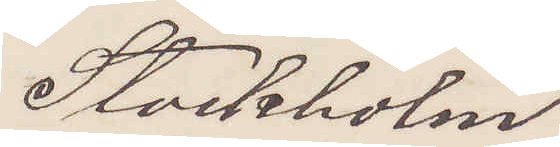Stockholm.
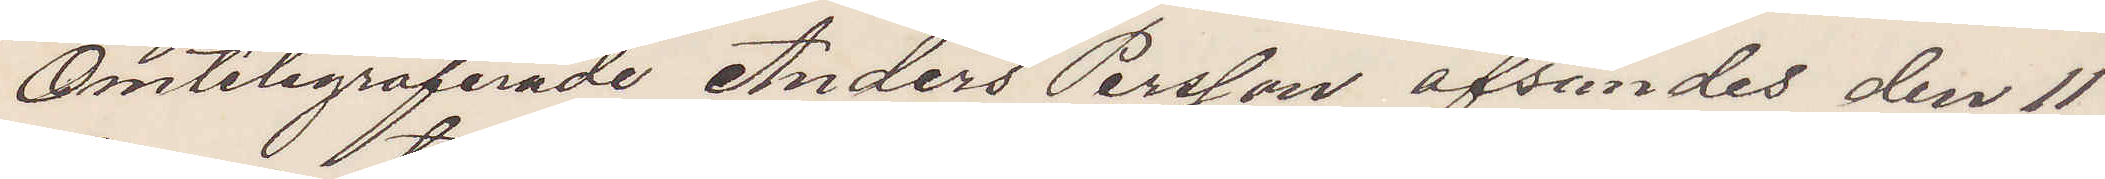Omtelegraferade Anders Persson afsendes den 11
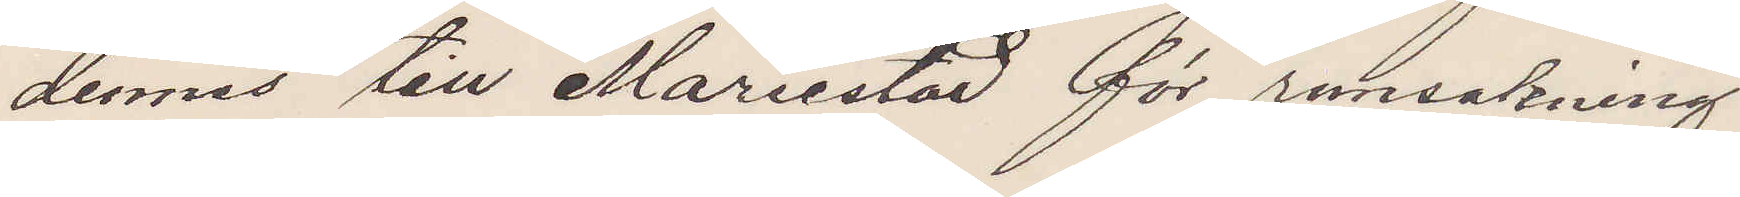dennes till Mariestad för ransakning
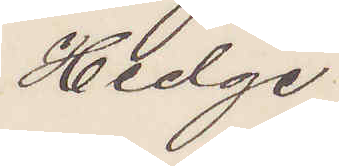Hedge
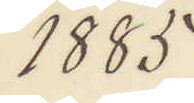1885
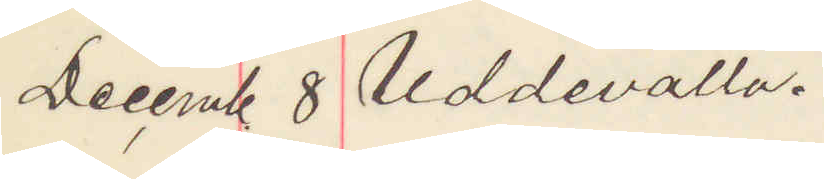Decemb 8. Uddevalla.
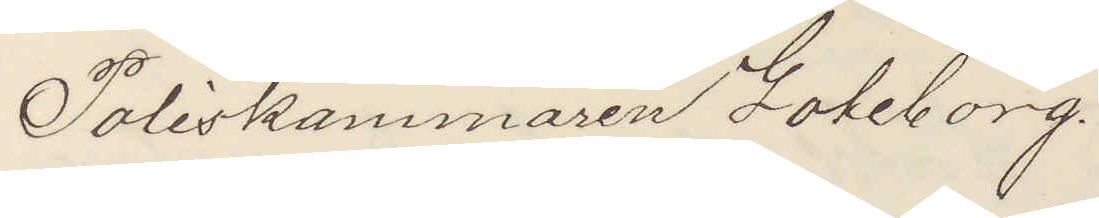Poliskammaren Göteborg.
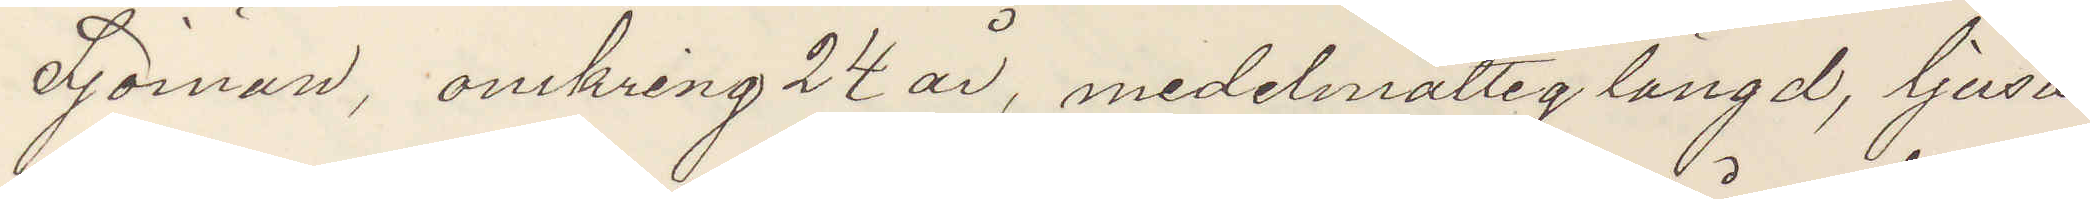Sjöman, omkring 24 år, medelmåttig längd, ljusa
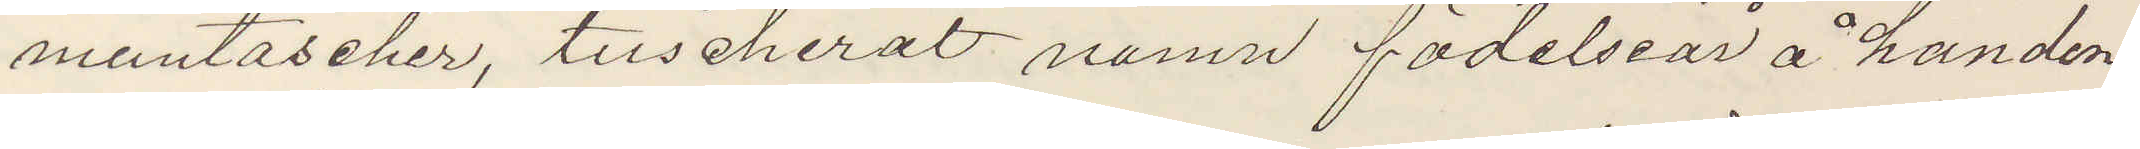mustascher, tuscherat namn födelseår å handen
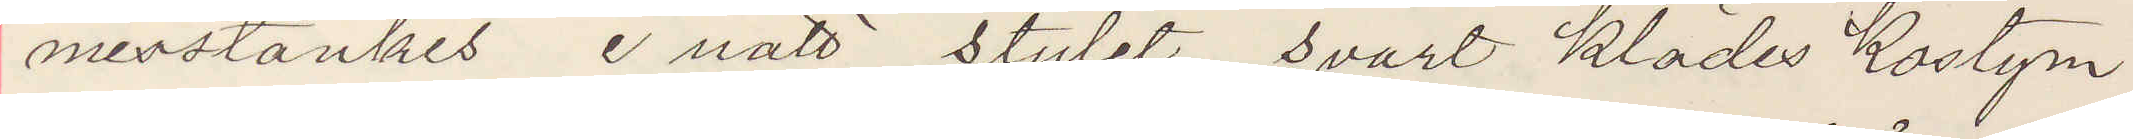misstänkes i natt stulit, svart klädes kostym
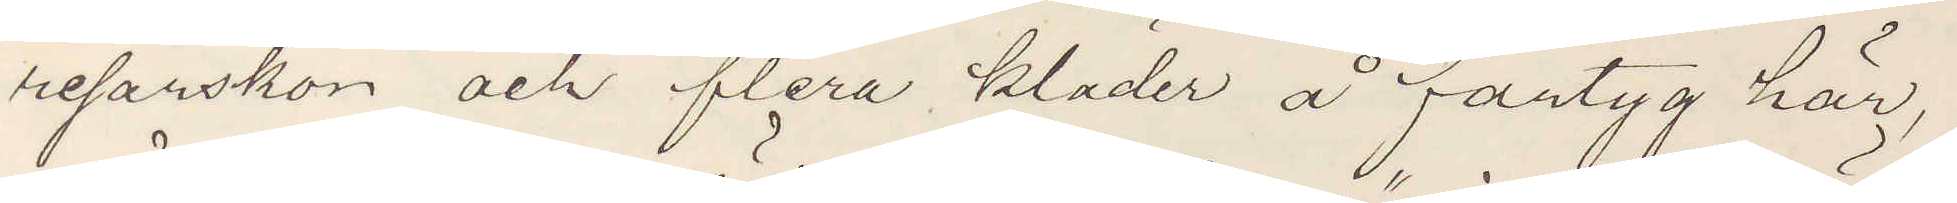resårskon och flera kläder å fartyg här,
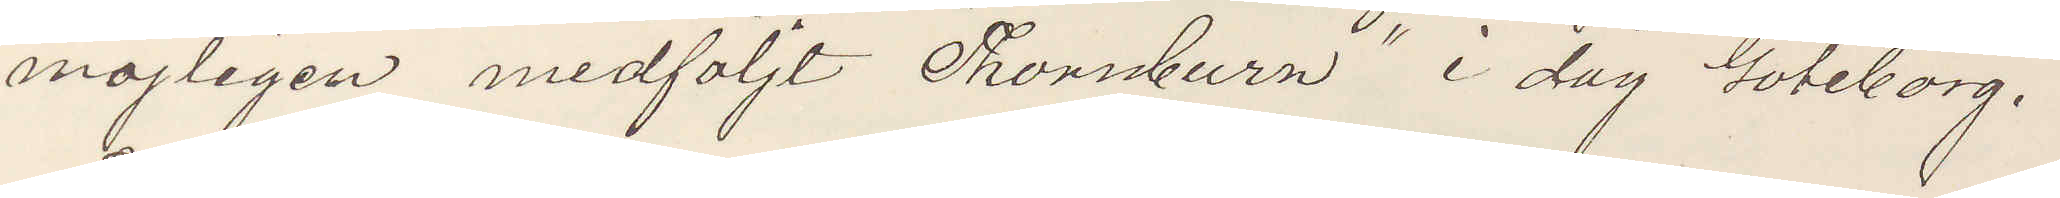möjligen medföljt "Thornburn" i dag Göteborg
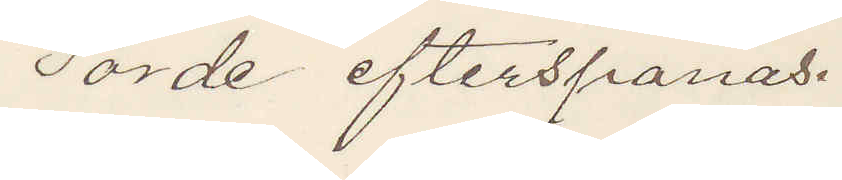torde efterspanas.
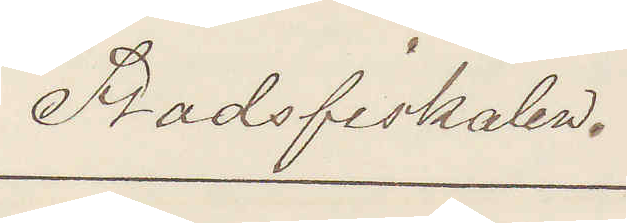Stadsfiskalen.
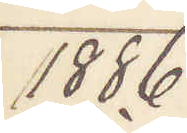1886
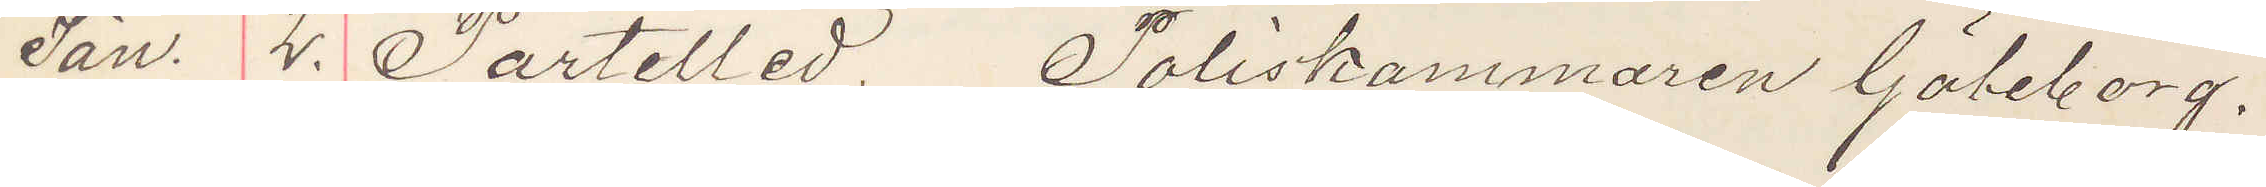Jan. 2. Partilled, Poliskammaren Göteborg.
